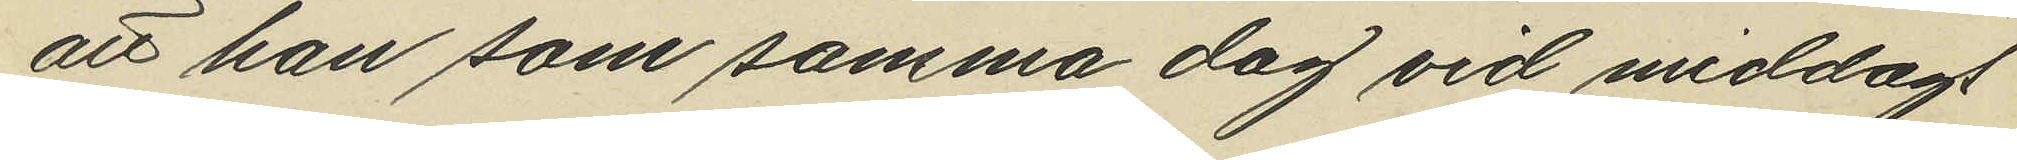att han som samma dag vid middags
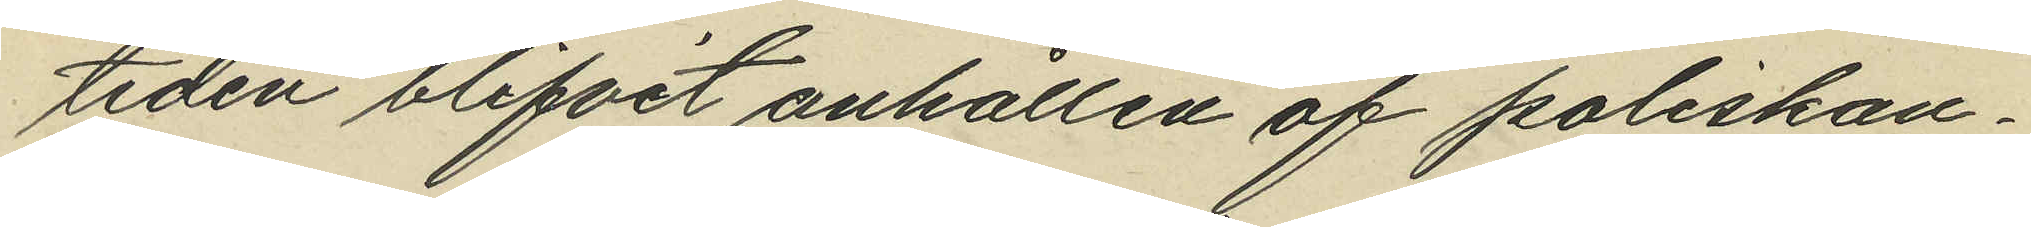tiden blifvit anhållen af poliskon¬
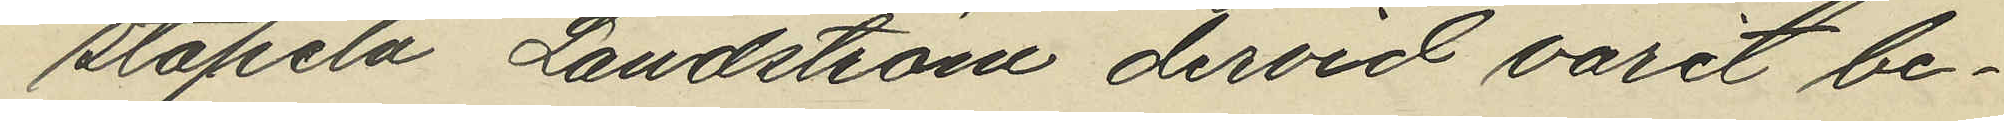stapeln Landström dervid varit be¬
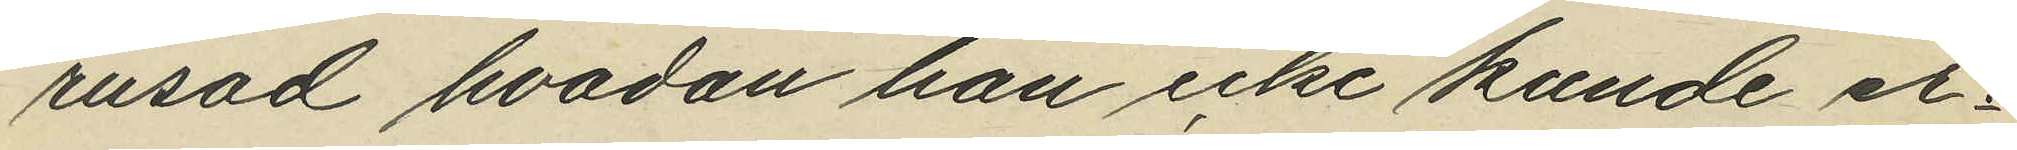rusad hvadan han icke kunde er¬
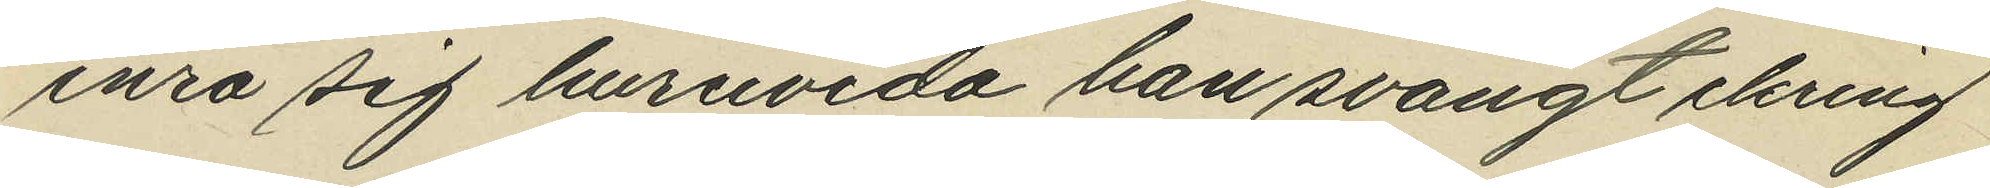inra sig hurevida han svängt ikring
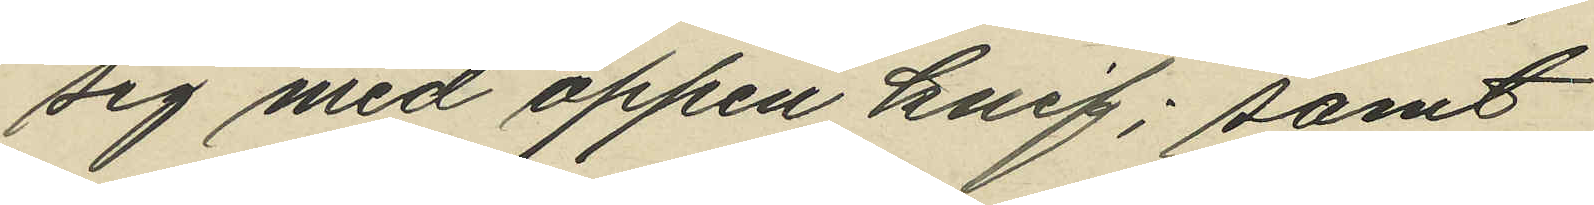sig med öppen knif; samt
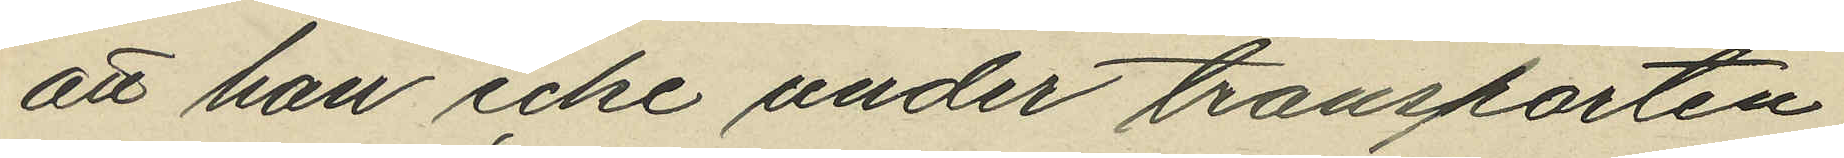att han icke under transporten
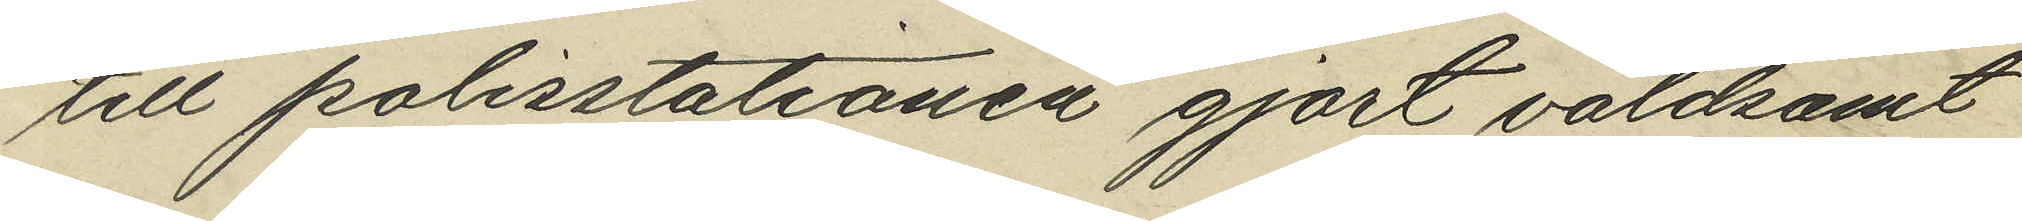till polisstationen gjort våldsamt
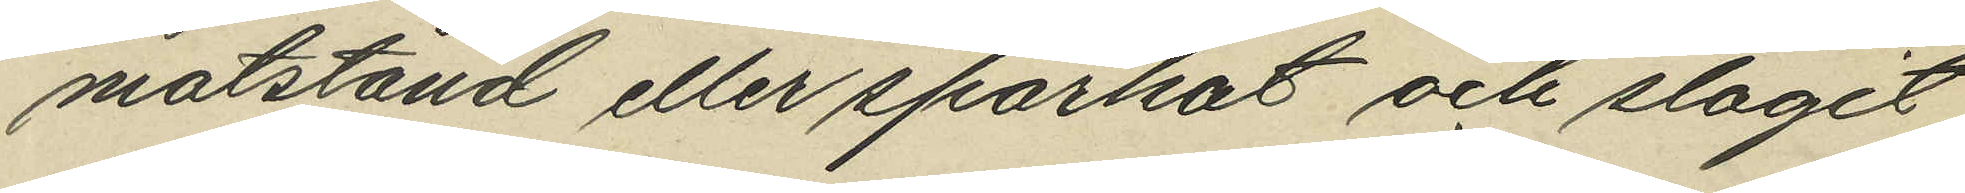motstånd eller sparkat och slagit
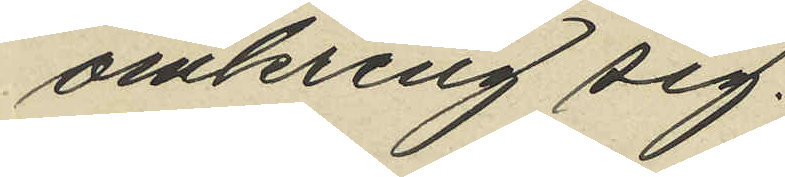omkring sig.
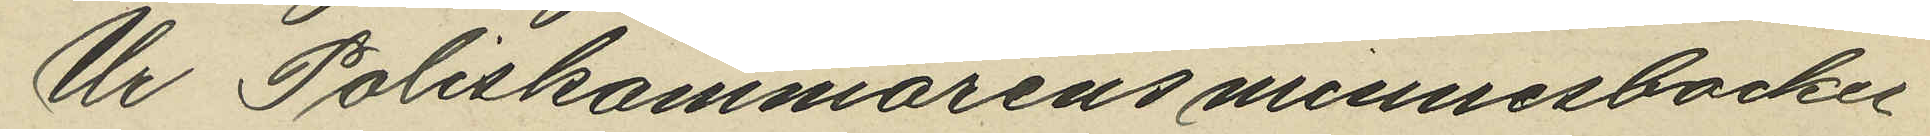Ur Poliskammarens minnesböcker
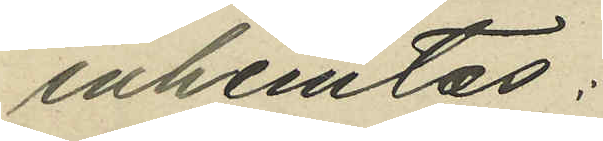inhemtas:
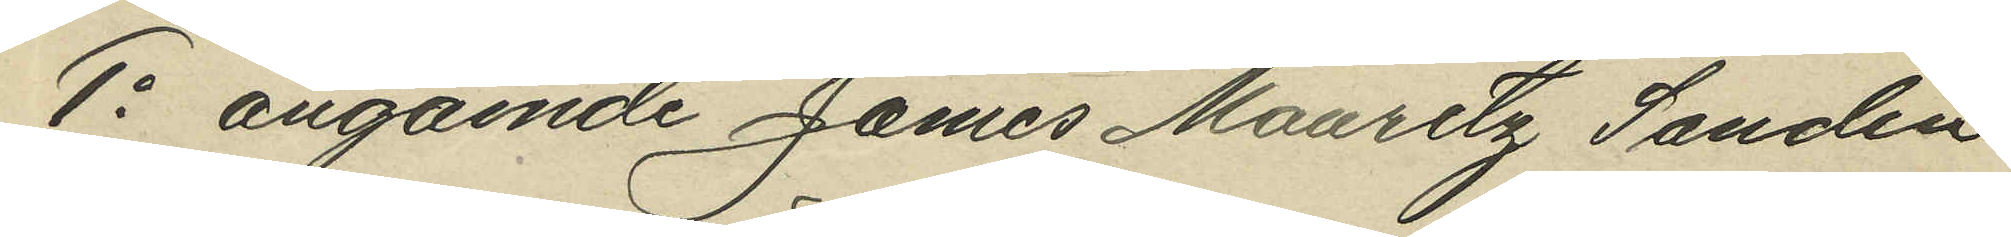1o angående James Mauritz Sandin
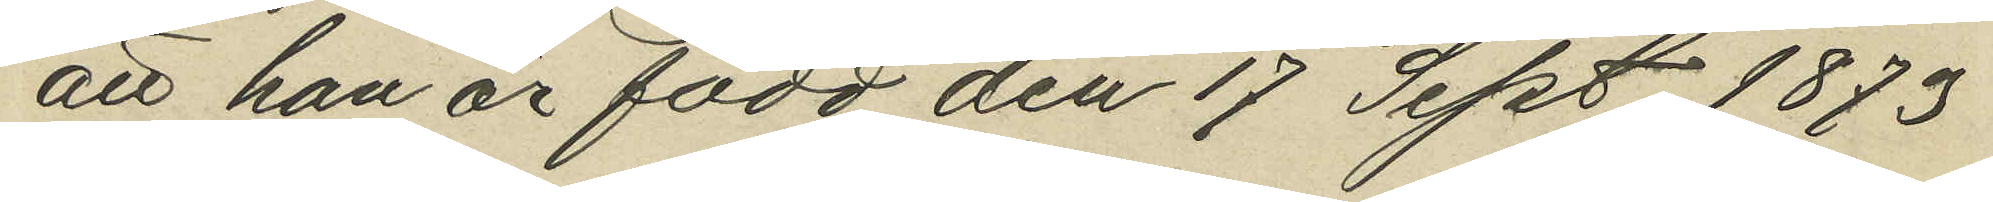att han är född den 17 Sept. 1873
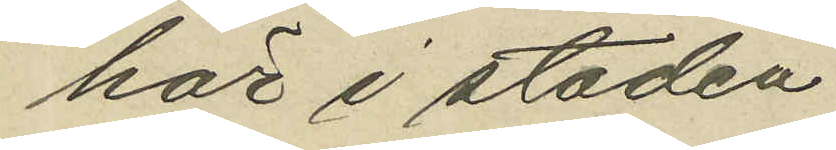här i staden
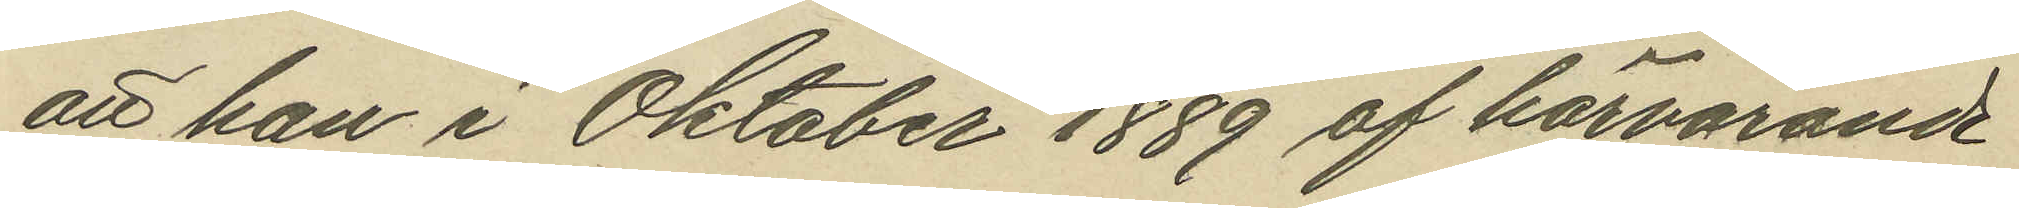att han i Oktober 1889 af härvarande
